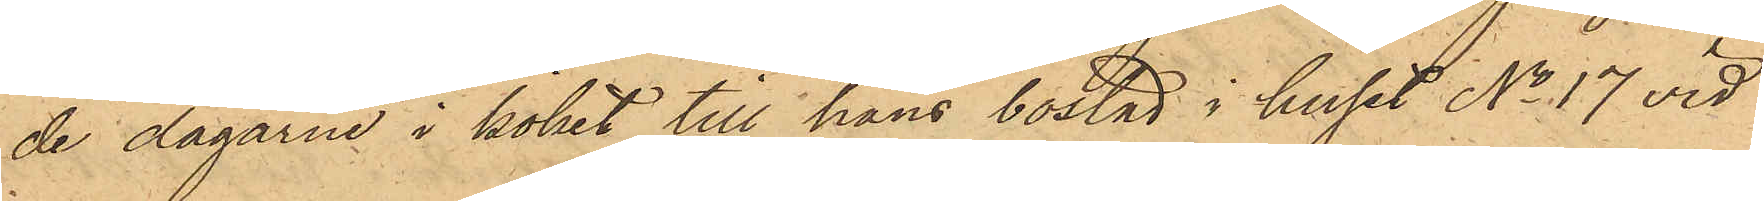de dagarne i köket till hans bostad i huset No 17 vid
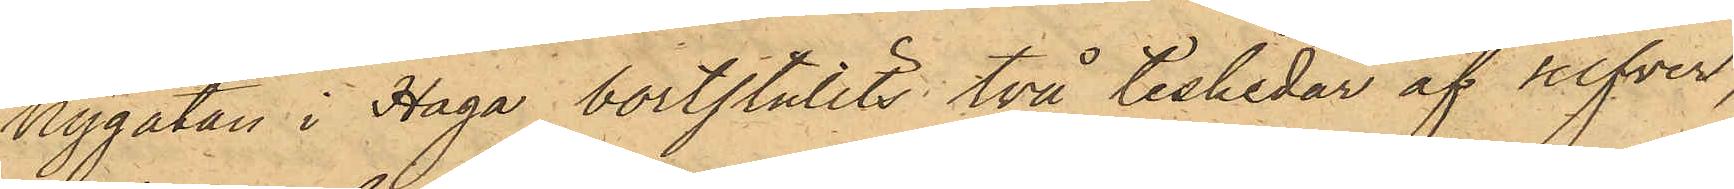Nygatan i Haga bortstulits två teskedar af silfver,
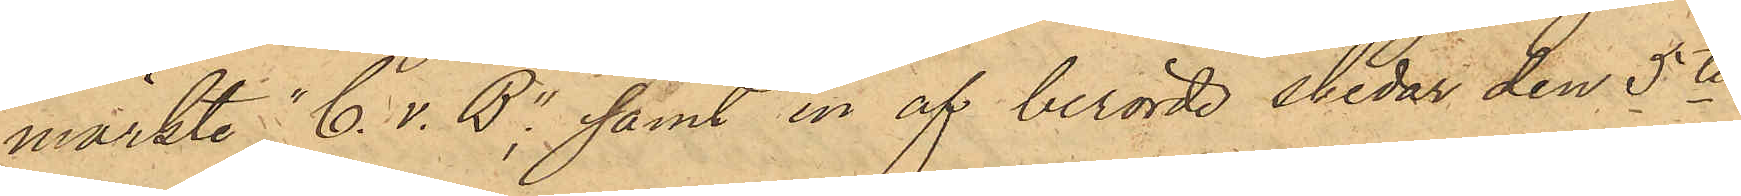märkte "C. v. B"; samt en af berörde skedar den 5te
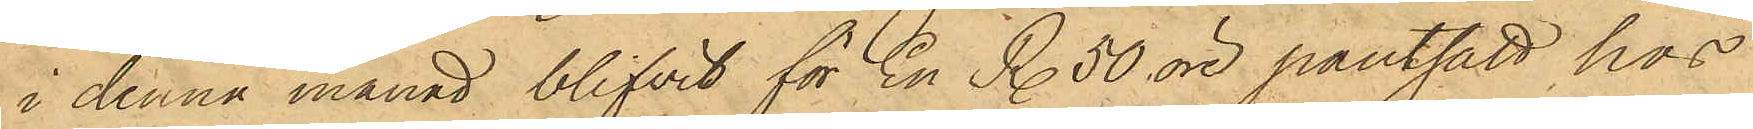i denna månad blifvit för En R. 50 öre pantsatt hos
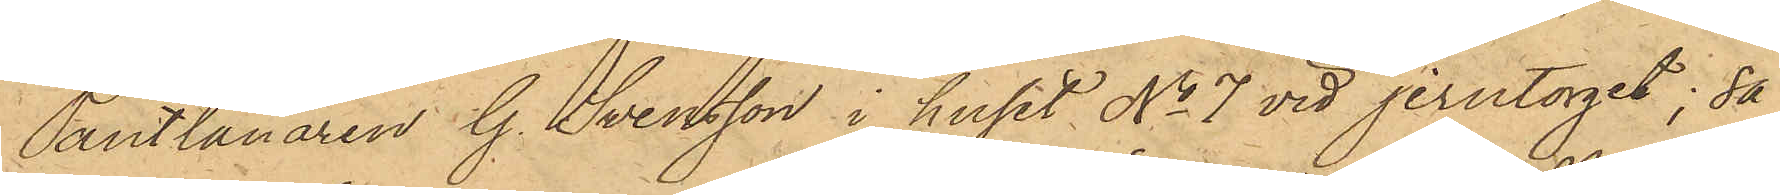Pantlånaren G. Svensson i huset No 7 vid Jerntorget; så
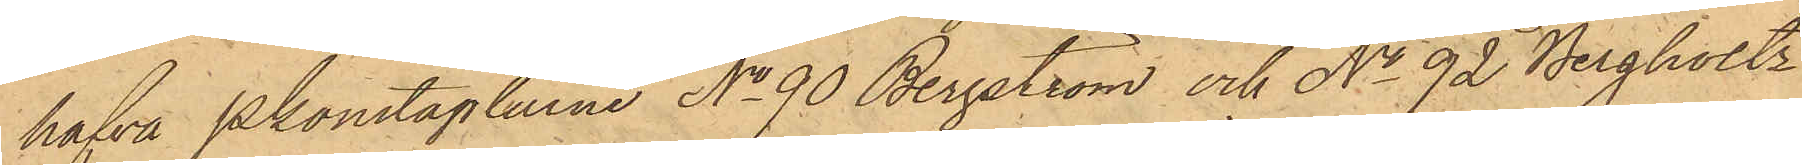hafva Pkonstaplarne No 90 Bergström och No 92 Bergholtz
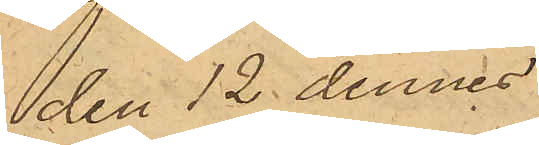den 12 dennes
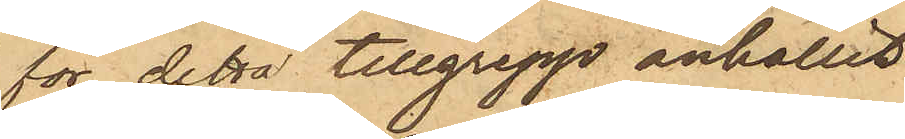för detta tillgrepp anhållit
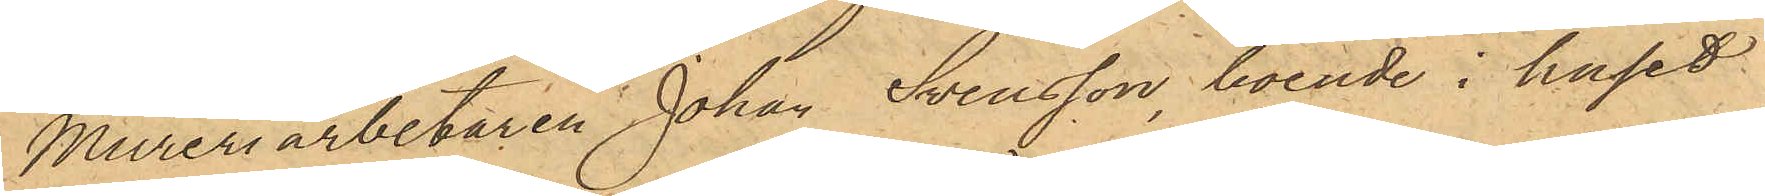Mureriarbetaren Johan Svensson, boende i huset
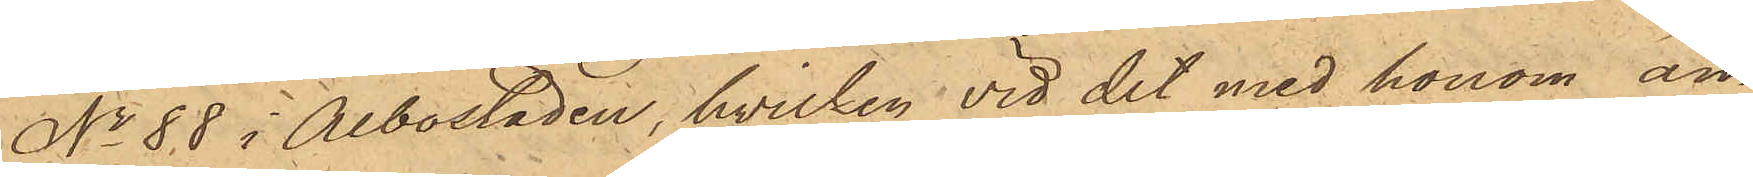No 88 i Albostaden, hvilken vid det med honom an¬
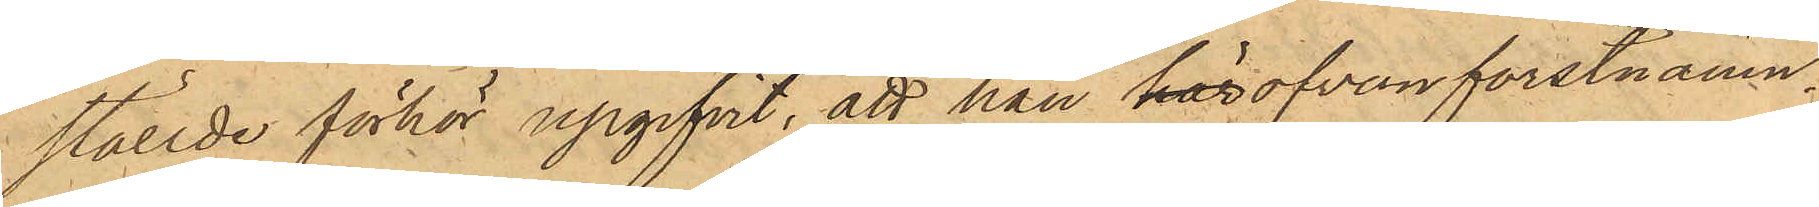ställde förhör upgifvit, att han härofvanförstnämn¬
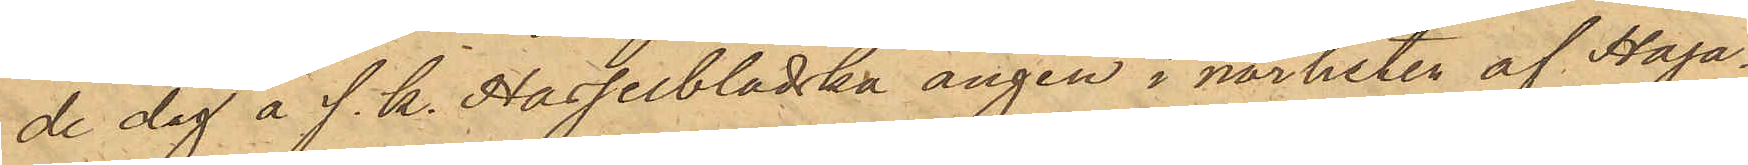de dag å s. k. Hasselbladska ängen i närheten af Haga¬
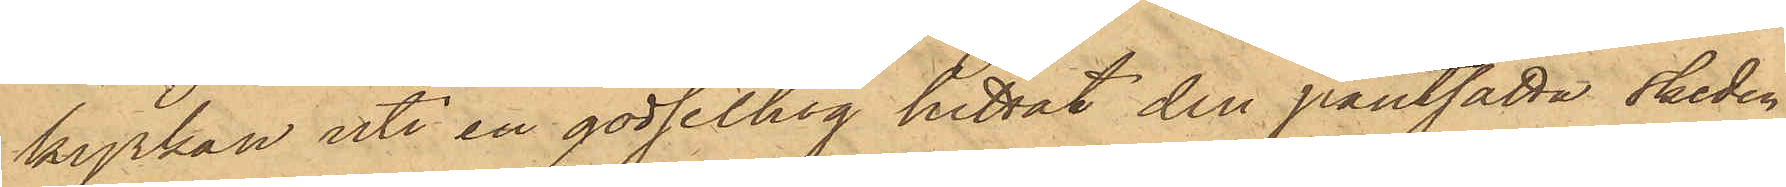kyrkan uti en gödselhög hittat den pantsatta skeden,
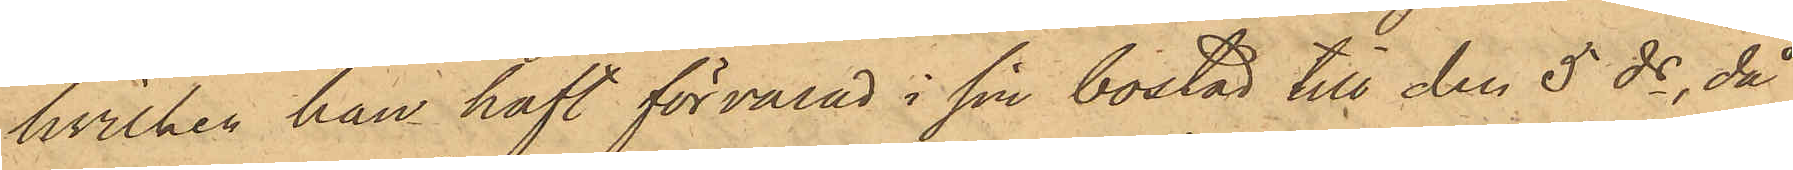hvilken han haft förvarad i sin bostad till den 5 ds, då
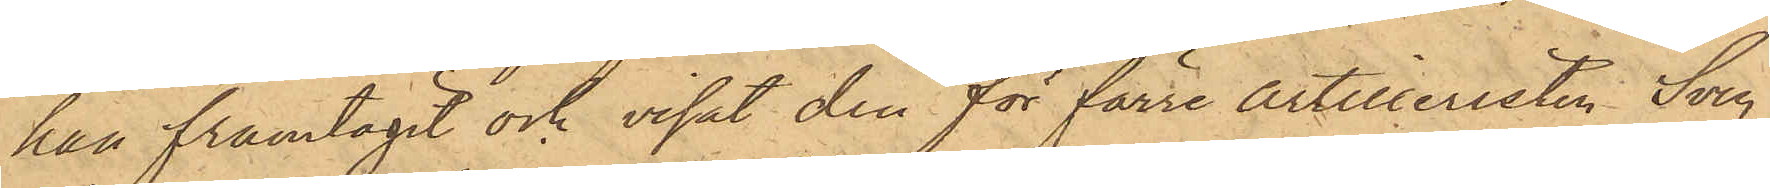han framtagit och visat den för förre artilleristen Sven
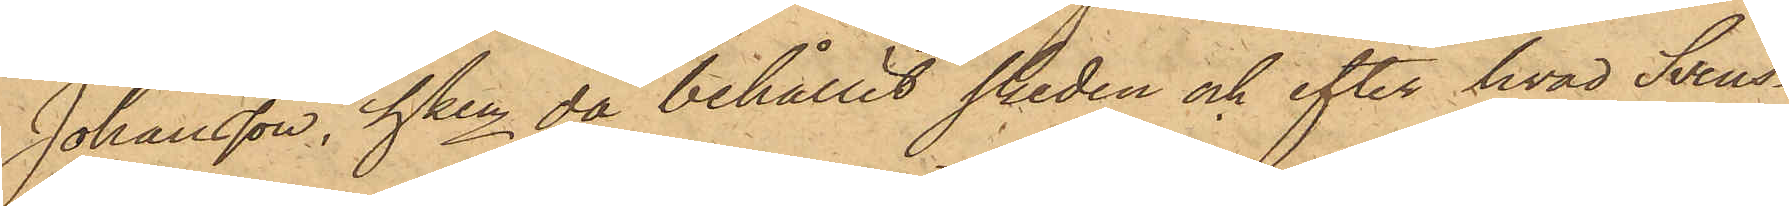Johansson, hken då behållit skeden och efter hvad Svens¬
